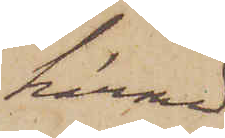härmed
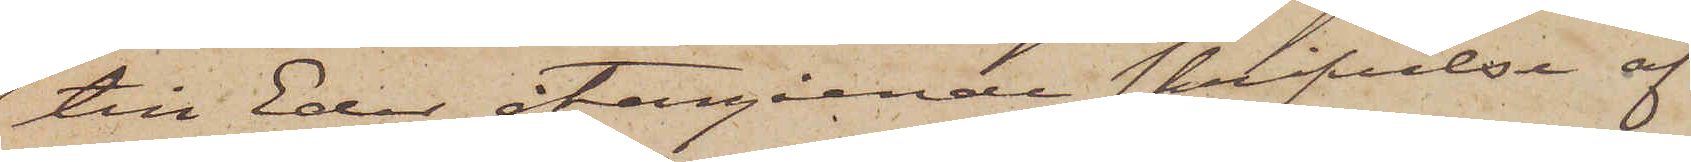till Eder återgående skrifvelse af
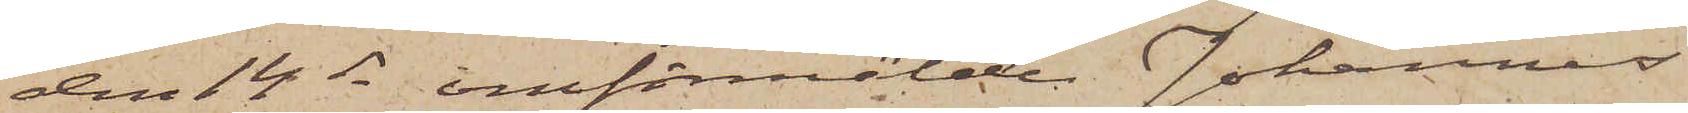den 14 ds omförmälde Johannes
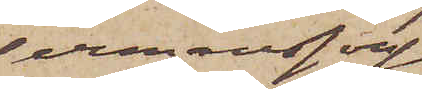Hermansson
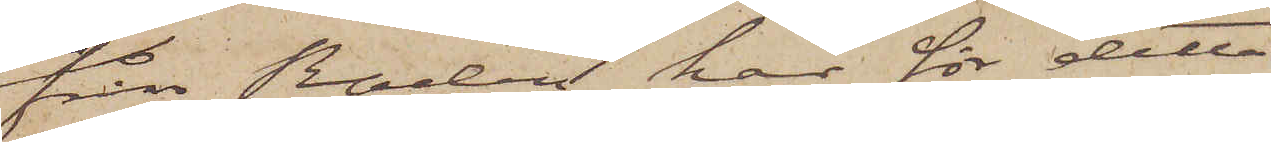från Raden har för detta
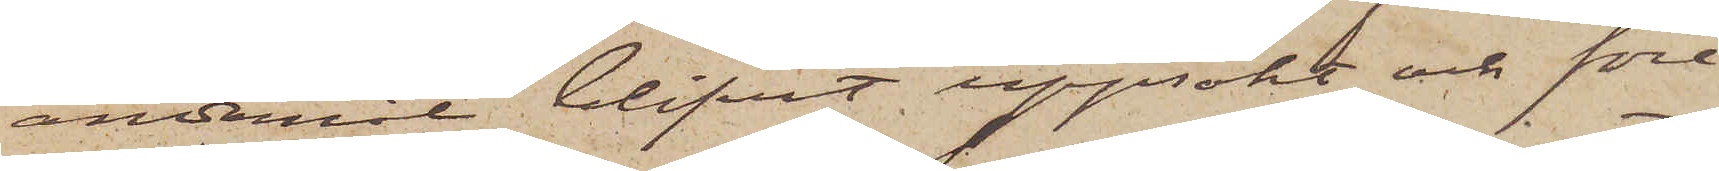ändamål blifvit uppsökt och före¬
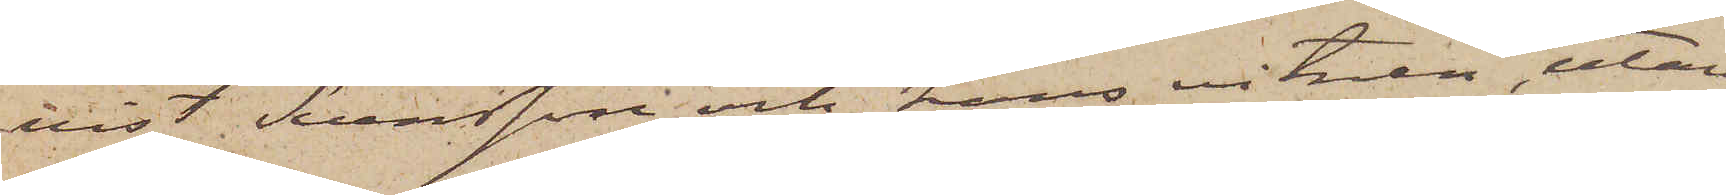vist Svensson och hans vitnen, utan
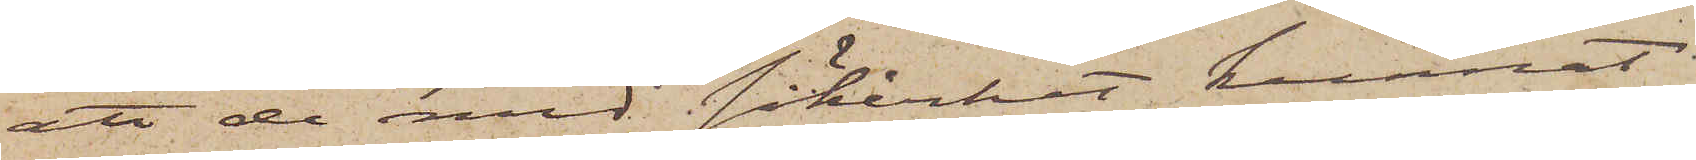att de med säkerhet kunnat
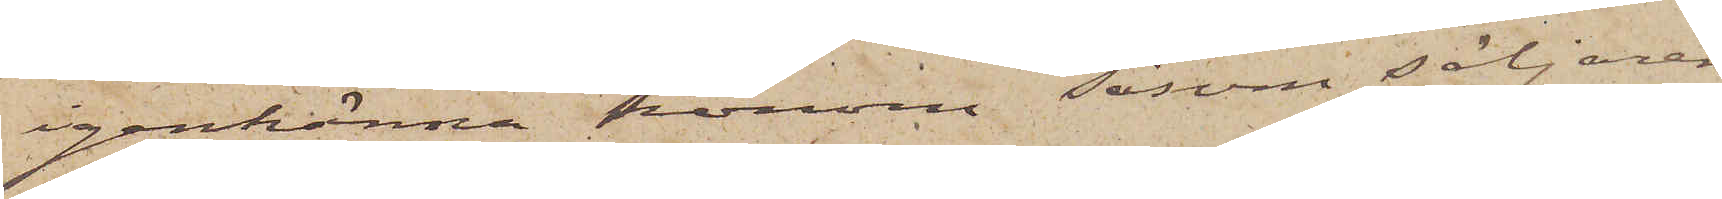igenkänna honom såsom säljaren,
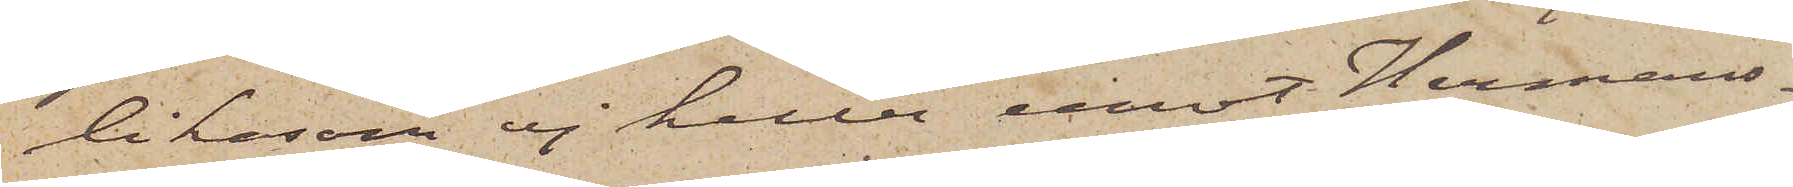likasom ej heller emot Hermans¬
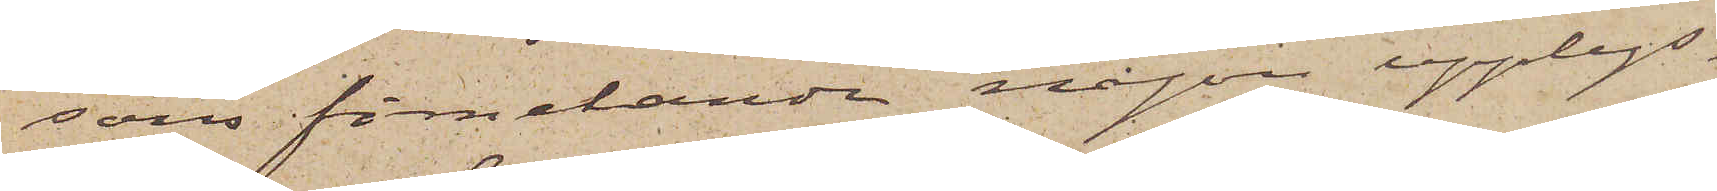sons förnekande någon upplys¬
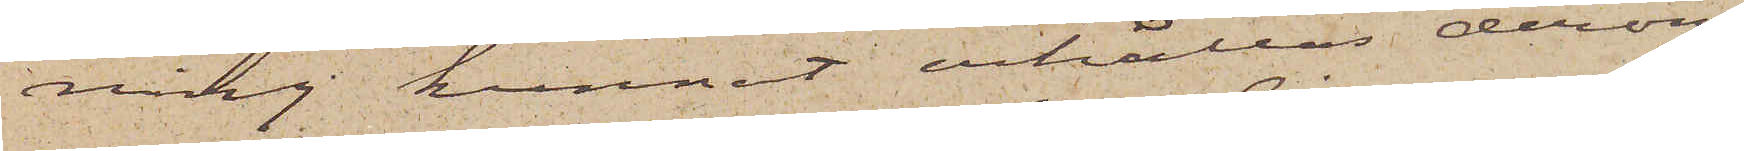ning kunnat erhållas derom
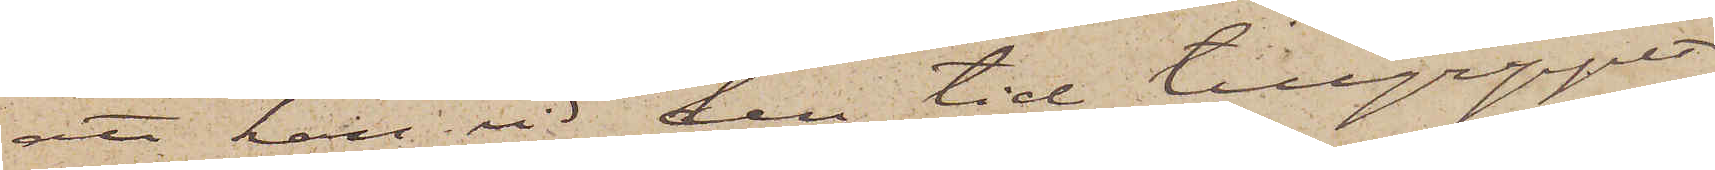att han vid den tid tillgreppet
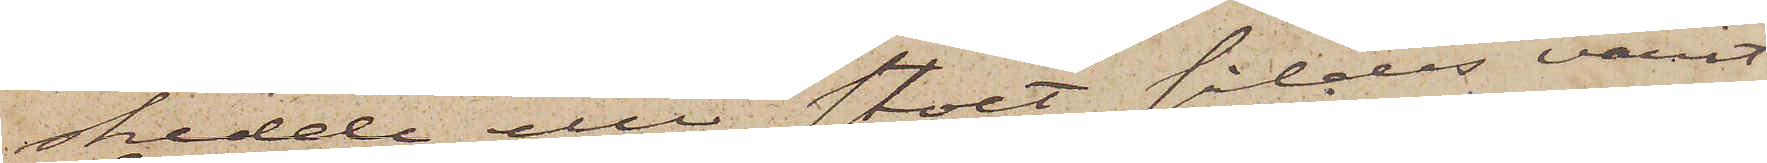skedde eller stoet såldes varit
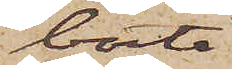borta
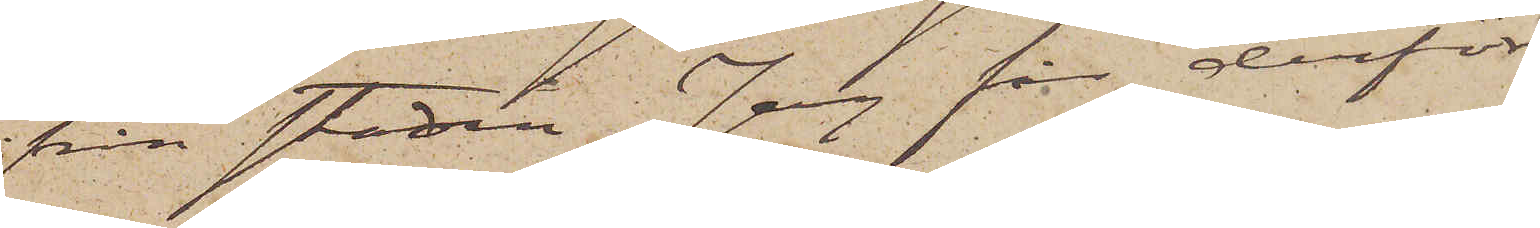från staden. Jag får derför
